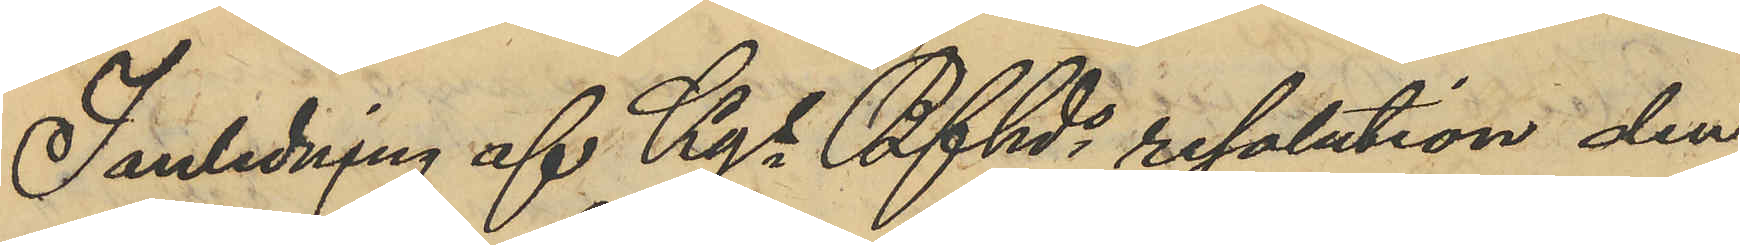I anledning af Kgs Bfhds resolution den
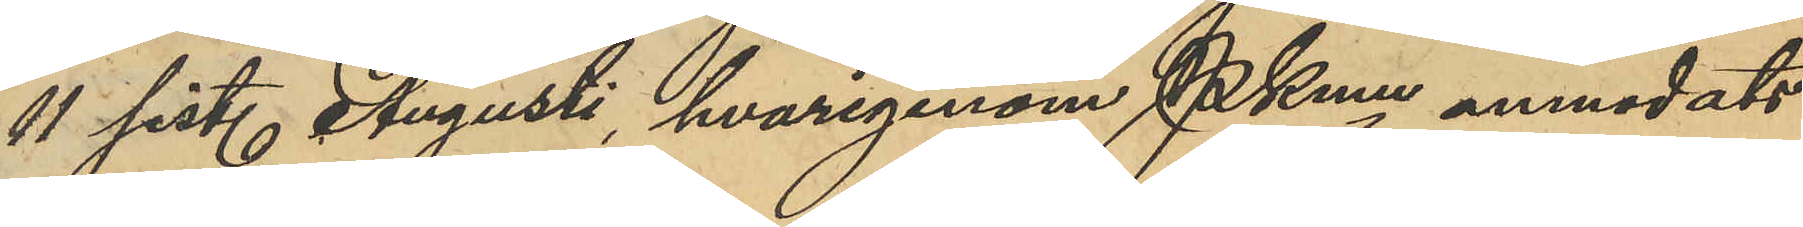11 sist. Augusti, hvarigenom PKmn anmodats
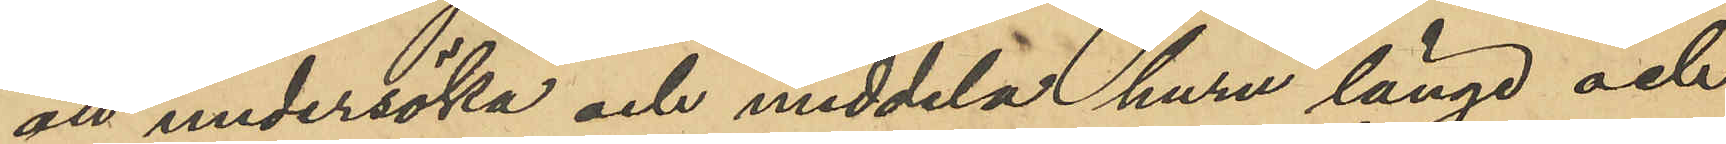att undersöka och meddela huru länge och
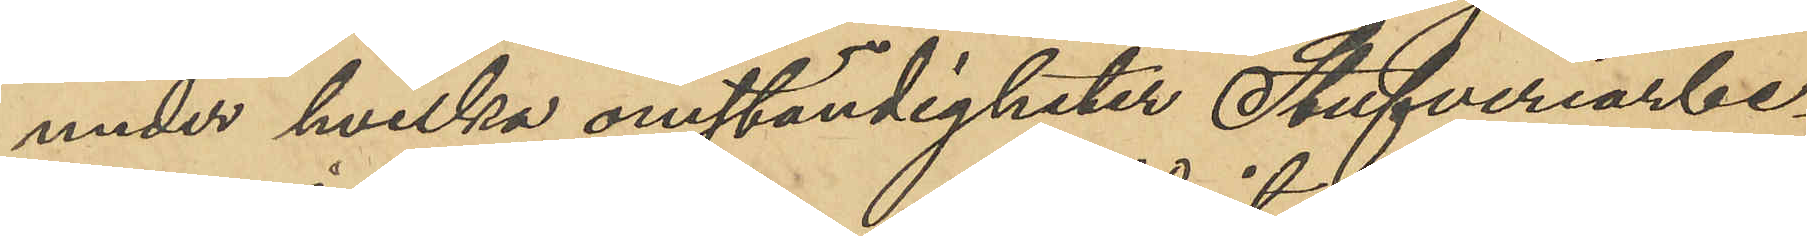under hvilka ömständigheter Stufveriarbe¬
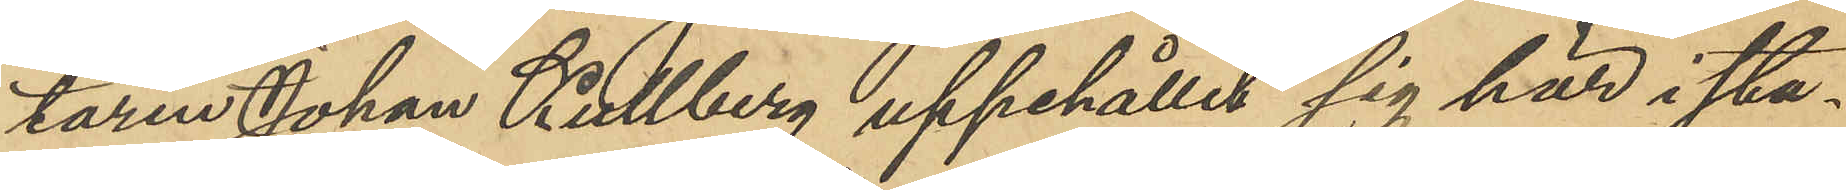taren Johan Kullberg uppehållit sig här i sta¬
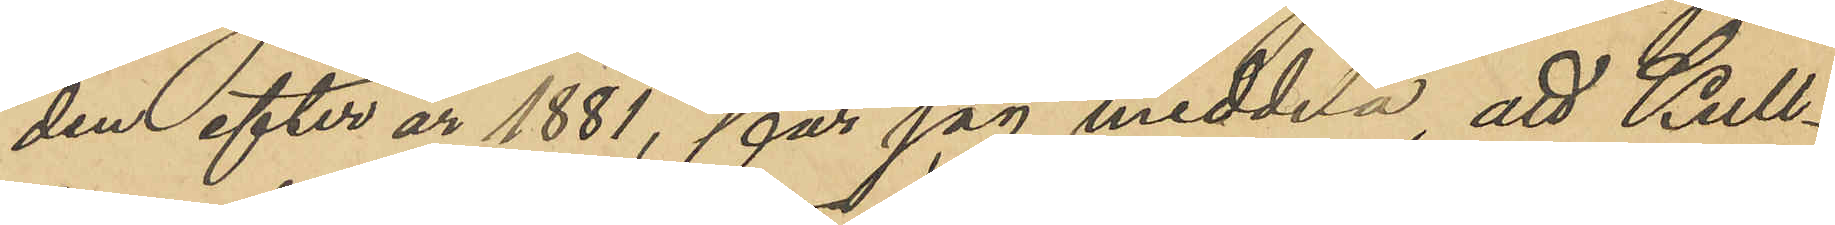den efter år 1881, får jag meddela, att Kull¬
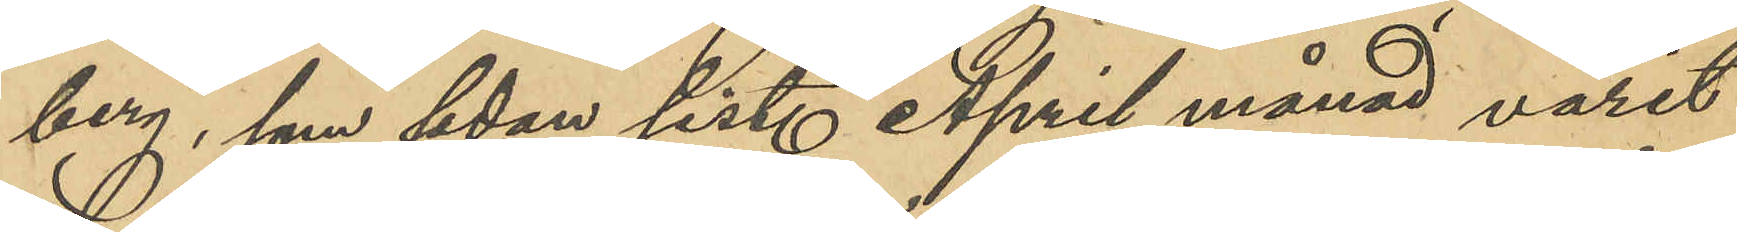berg, som sedan sist. April månad varit
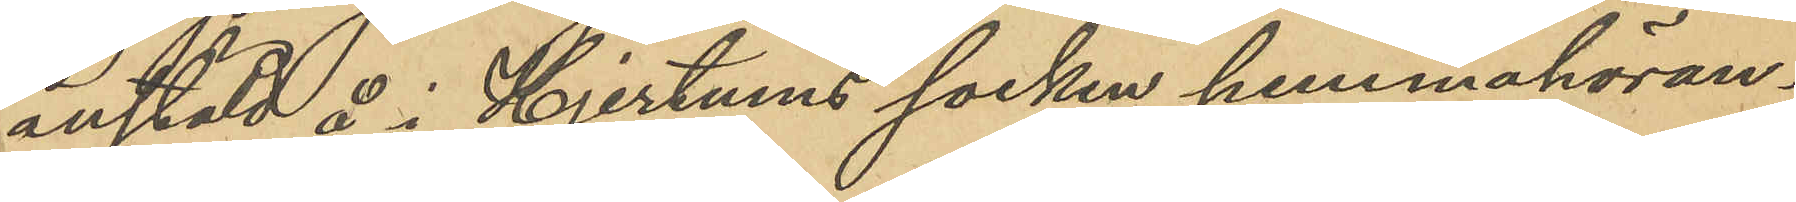anstäld å i Hjertums socken hemmahöran¬
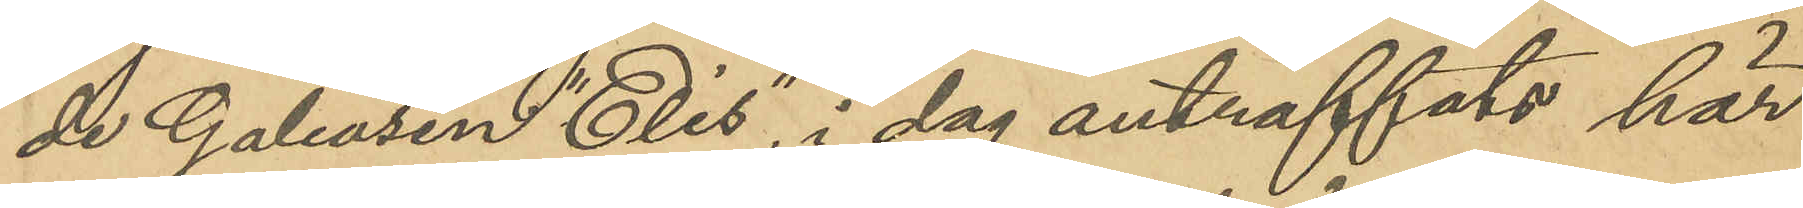de Galeasen "Elis", i dag anträffats här
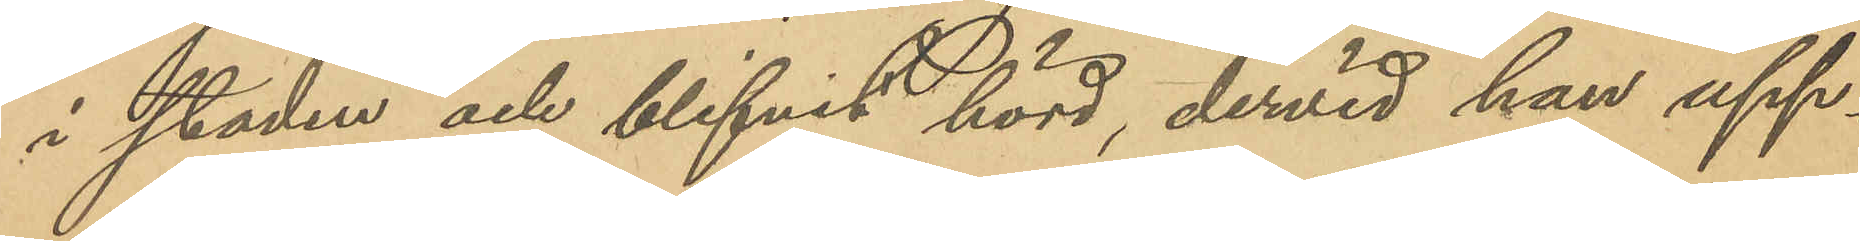i staden och blifvit hörd, dervid han upp¬
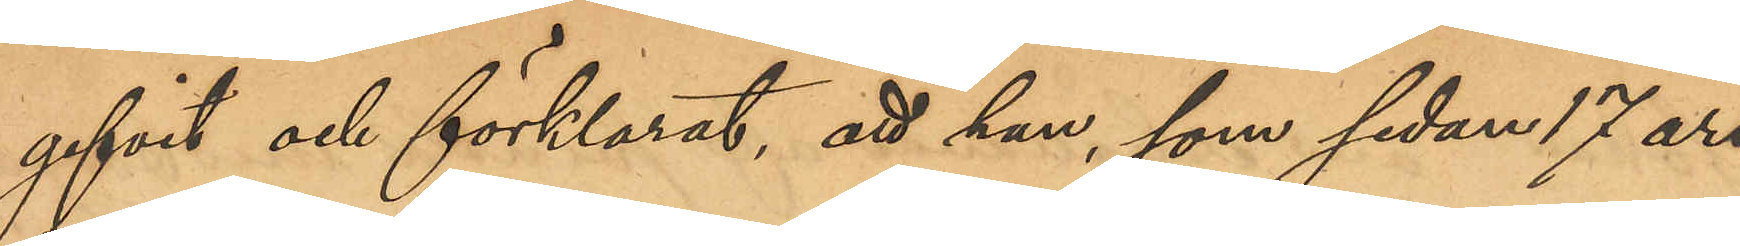gifvit och förklarat, att han, som sedan 17 års
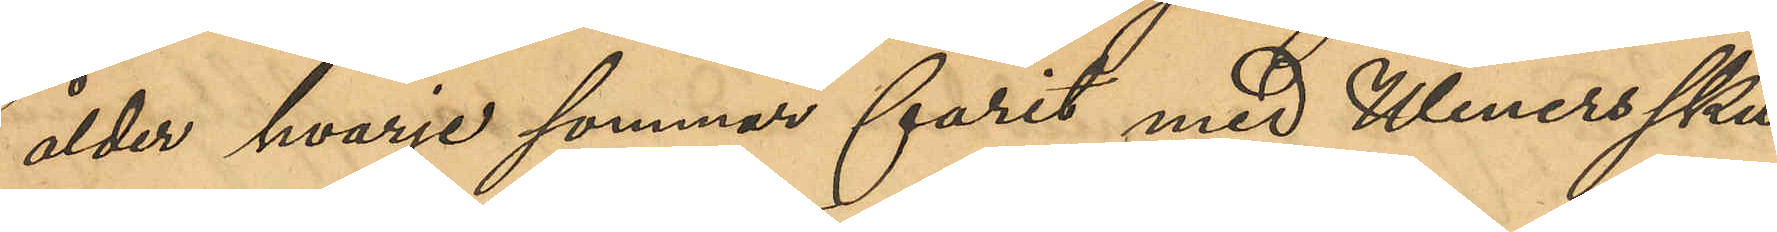ålder hvarje sommar farit med Weners sku¬
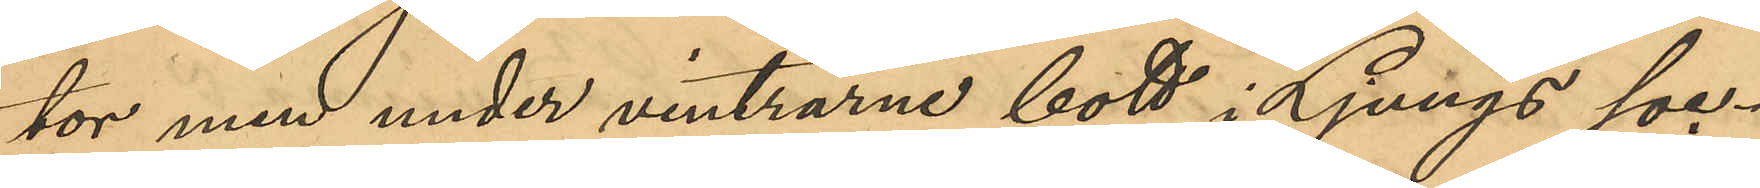tor men under vintrarne bott i Ljungs soc¬
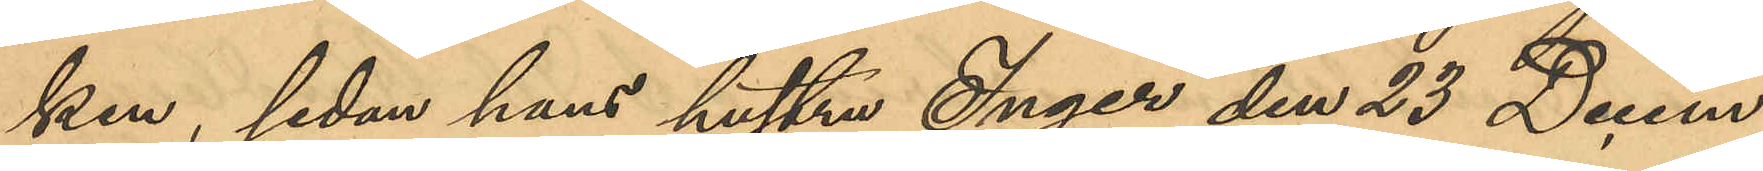ken, sedan hans hustru Inger den 23 Decem¬
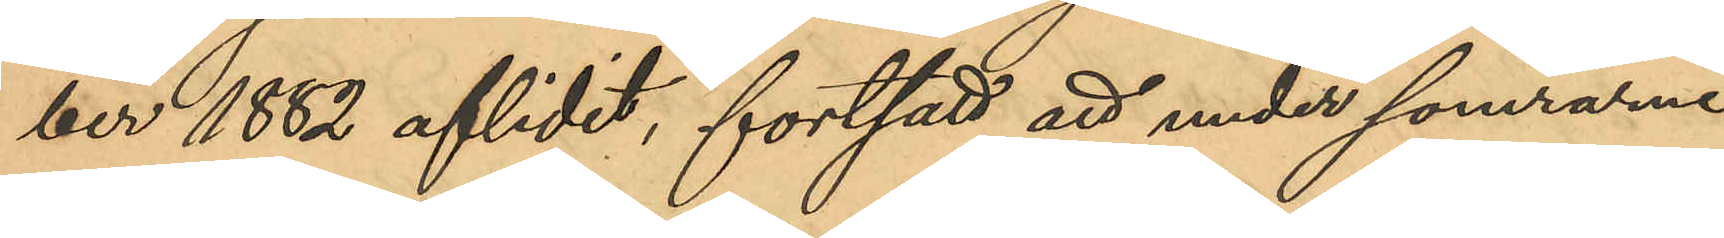ber 1882 aflidit, fortsatt att under somrarne
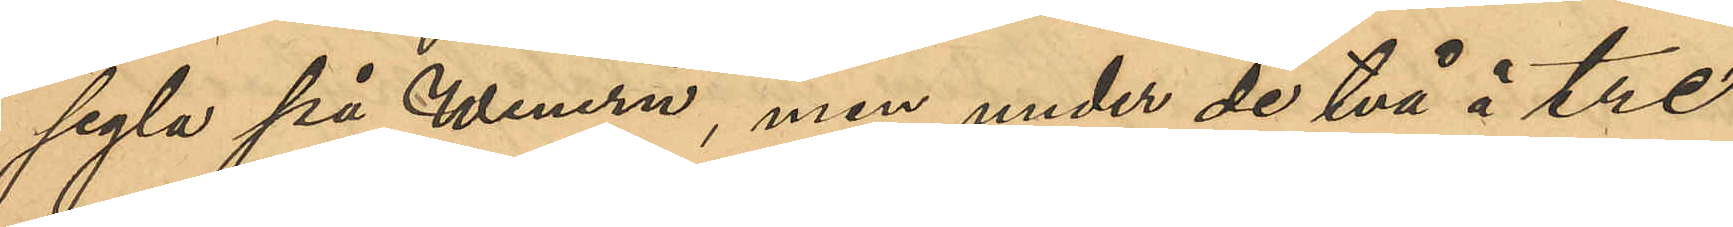segla på Wenern, men under de två à tre
